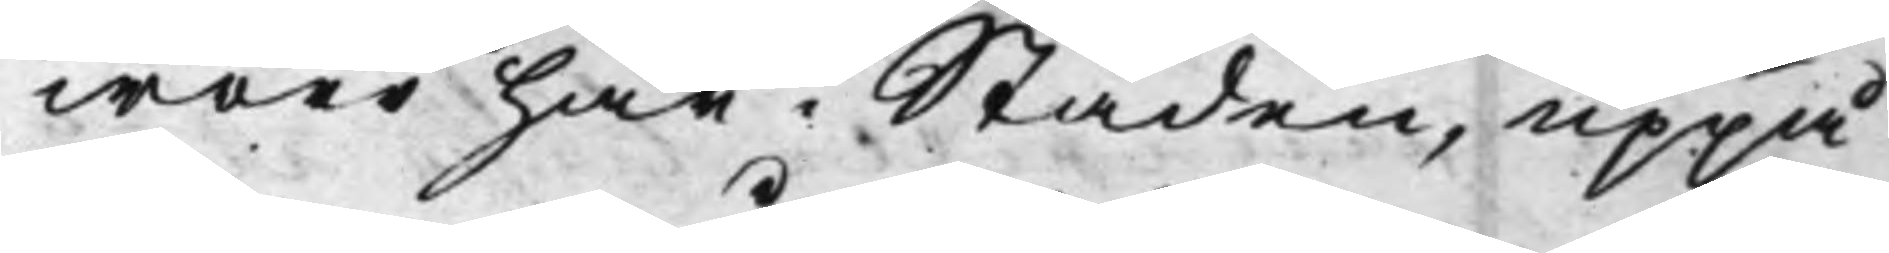woro här i Staden, uppå
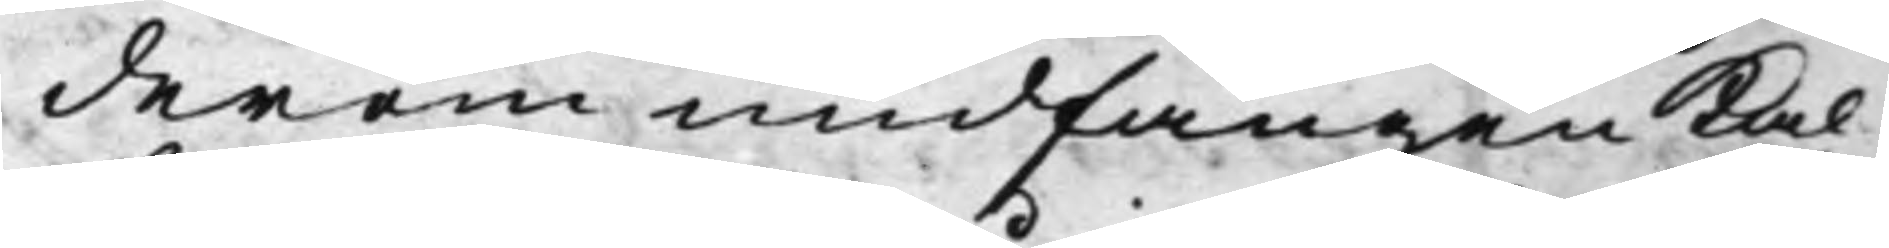derom undfången Kal¬
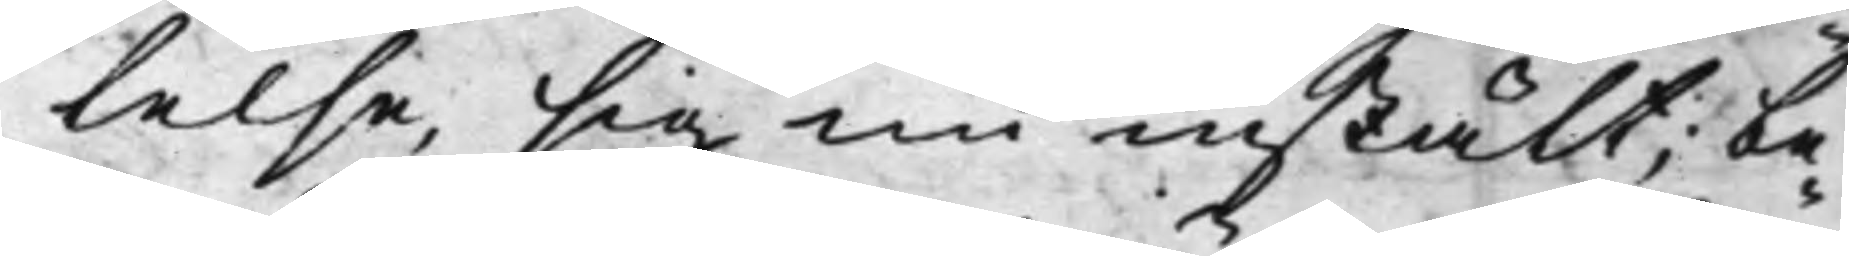lelse, sig nu instält; be¬
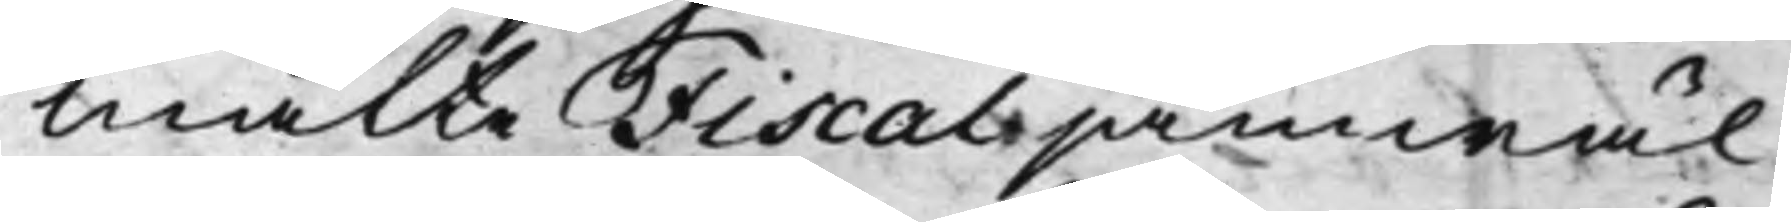mälte Fiscal jämwäl
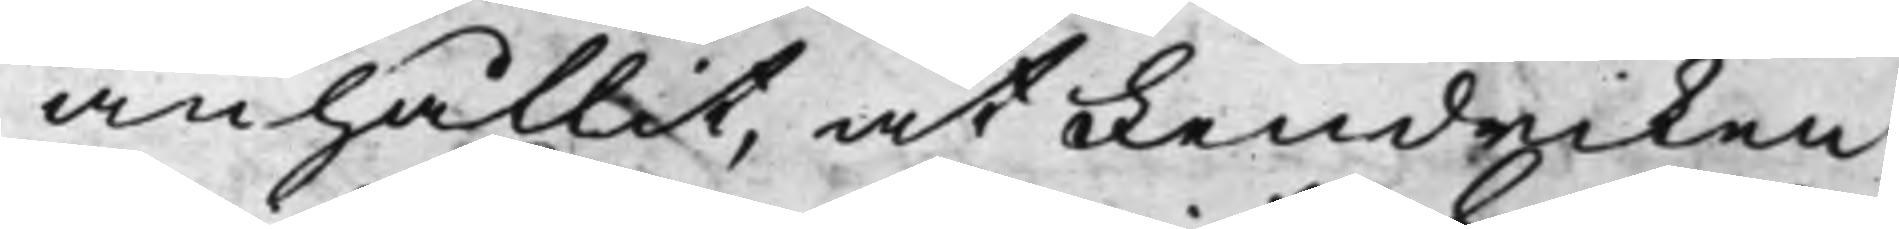anhållit, at Fendriken
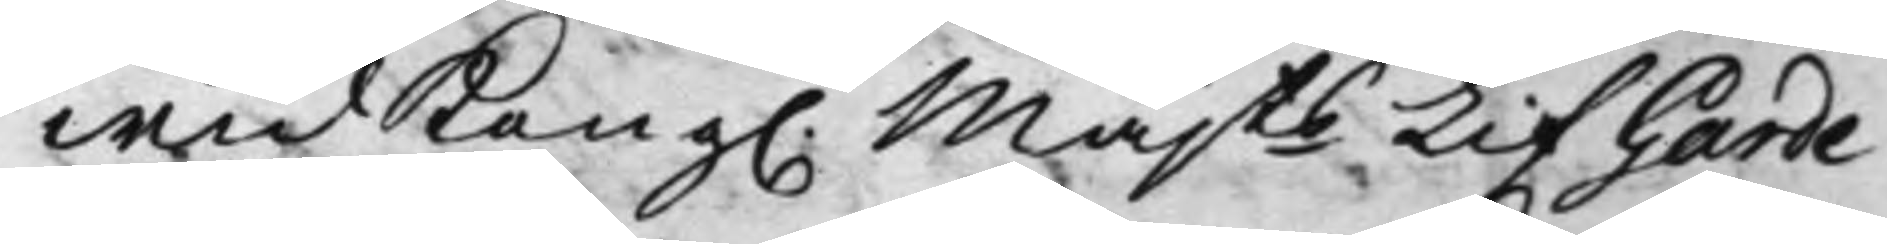wid Kong. Majts Lif Garde 
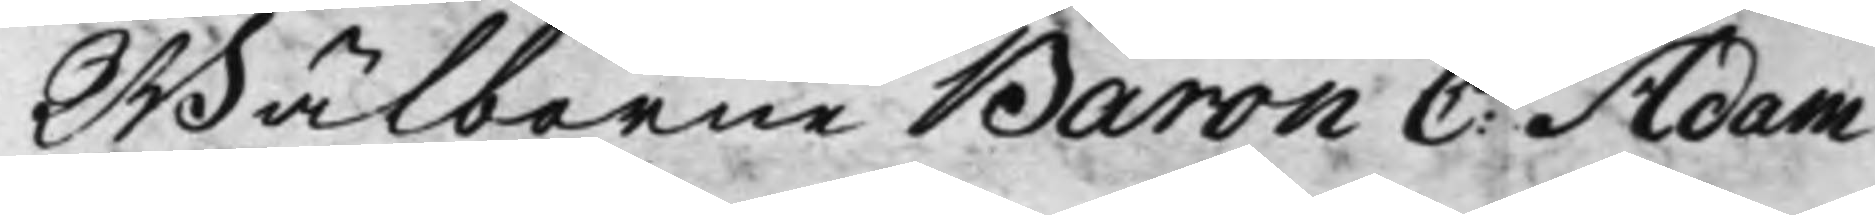Wälborne Baron C: Adam 
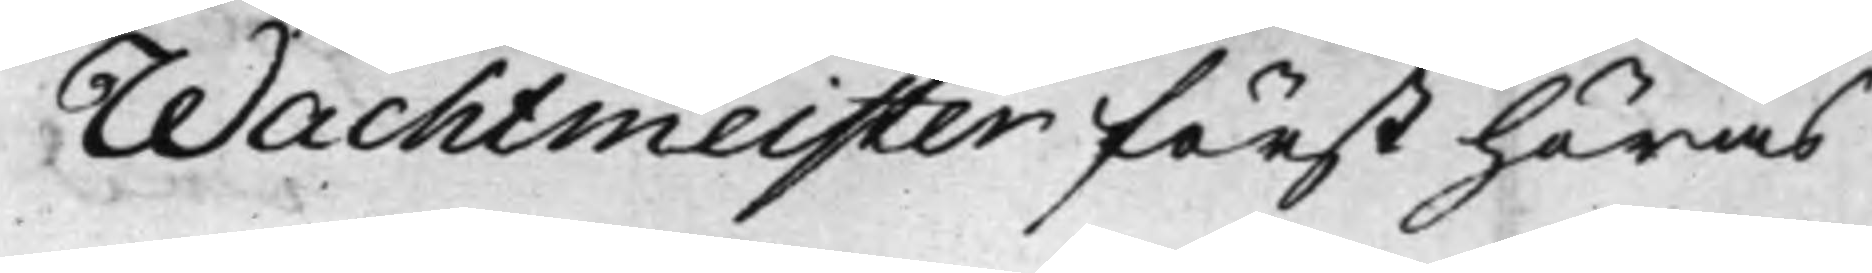Wachtmeister först höras
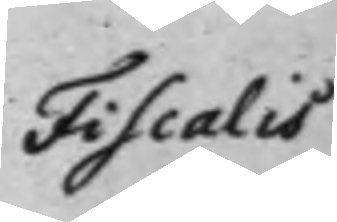Fiscalis
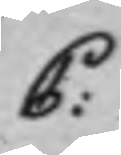C:
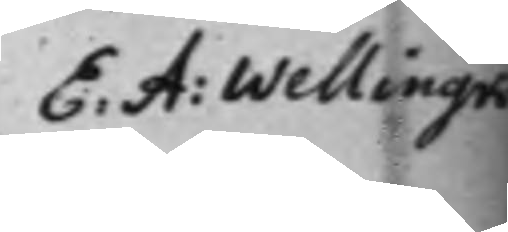E: A: Wellingk 
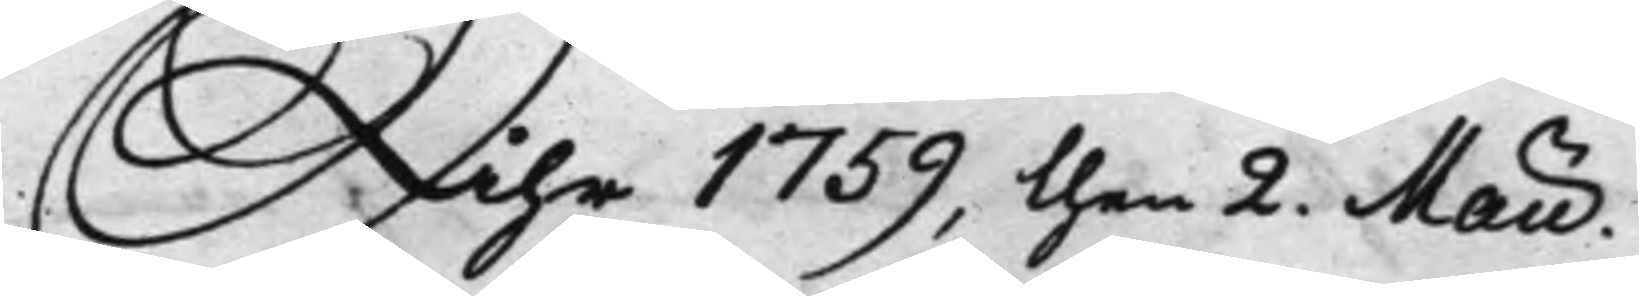Åhr 1759, then 2. Maii.
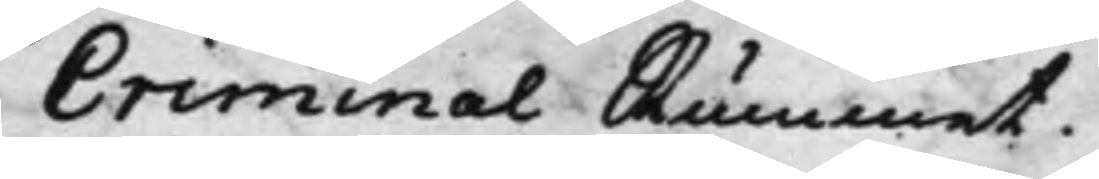Criminal Rummet.
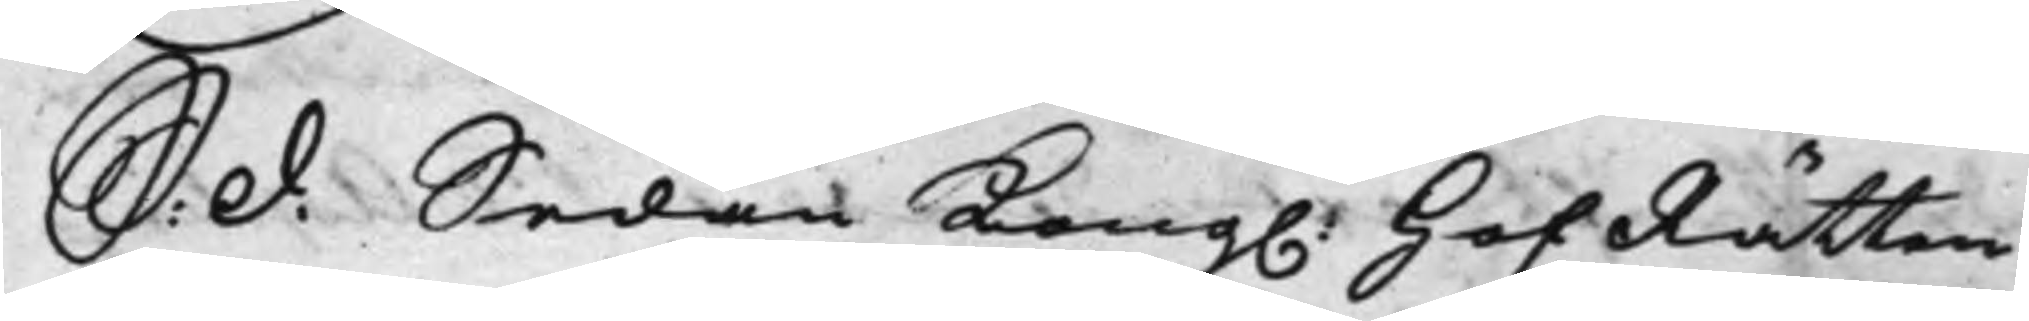S: d: Sedan Kong. HofRätten
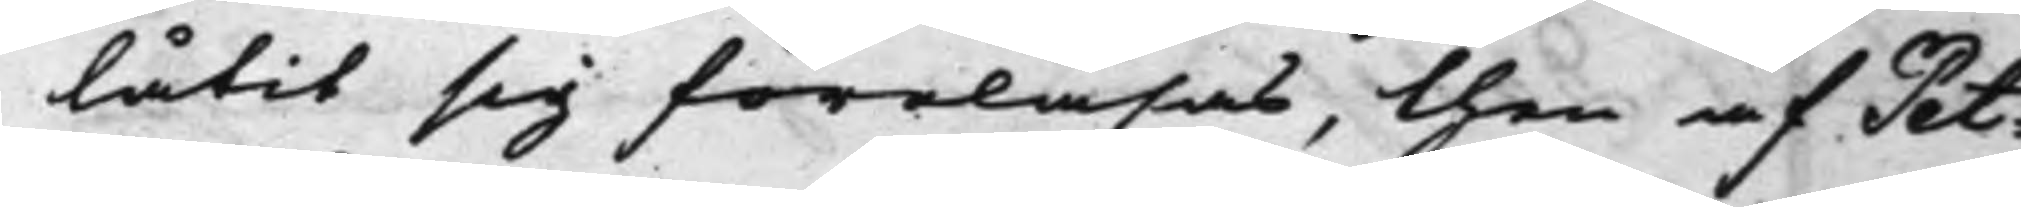låtit sig föreläsas, then af Pet¬
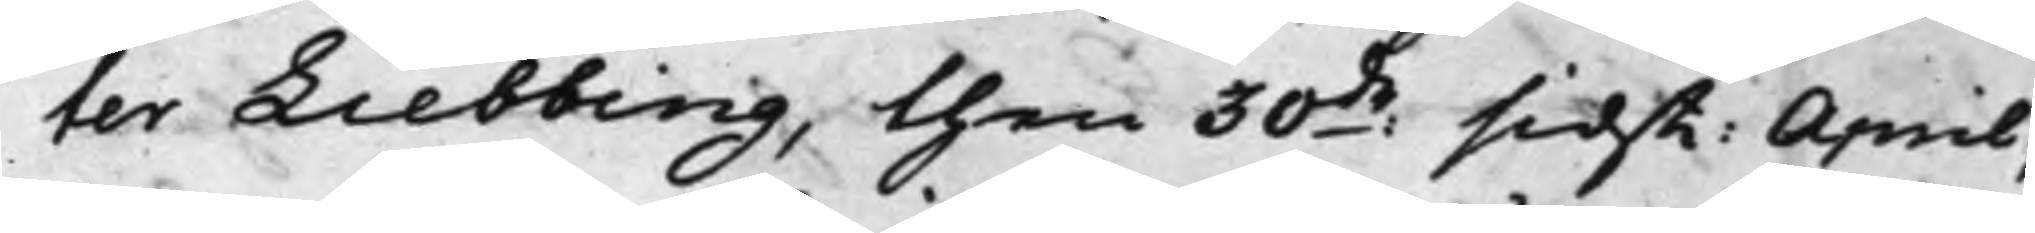ter Liebbing, then 30:de sidst: April,
